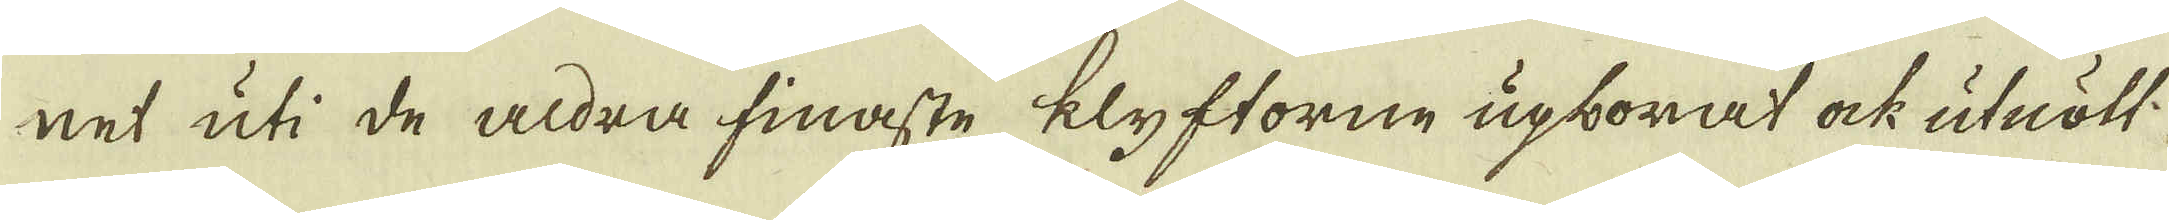net uti de aldra finaste klyftorne upborat ock utnött.
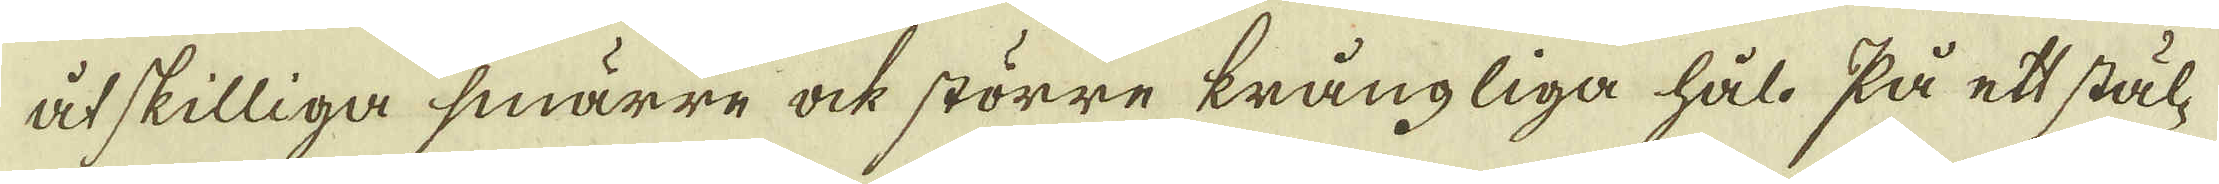åtskilliga smärre ock större krångliga hål. På ett stäl-
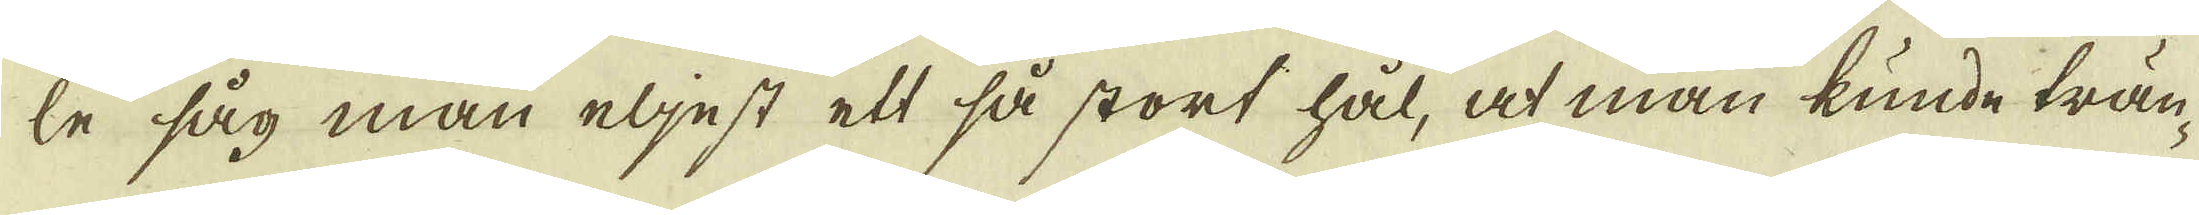de såg man eljest ett så stort hål, at man kunde trän-
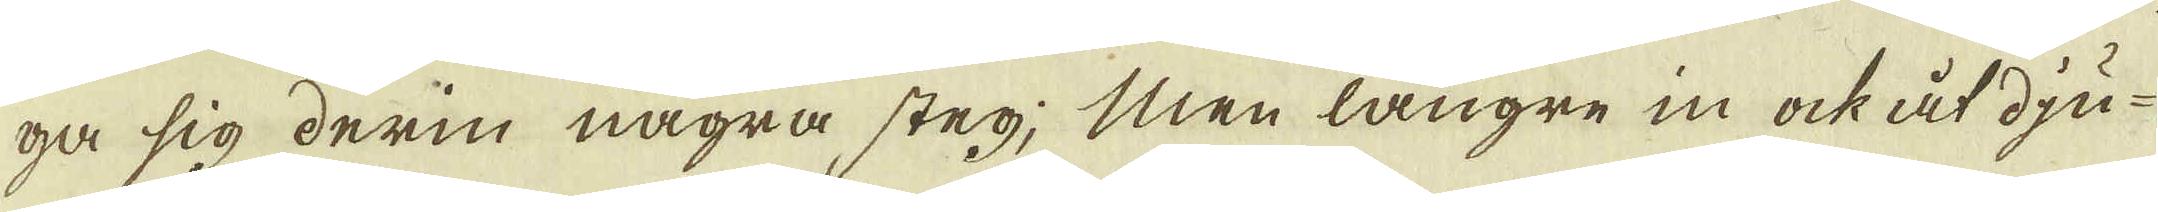ga sig derin några steg; Men längre in ock åt dju-
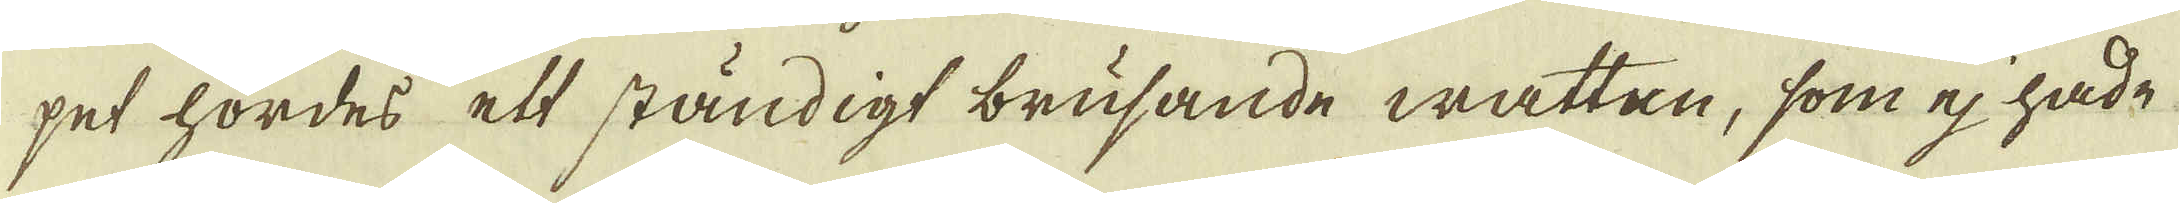pet hördes ett ständigt brusande watten, som ej hade
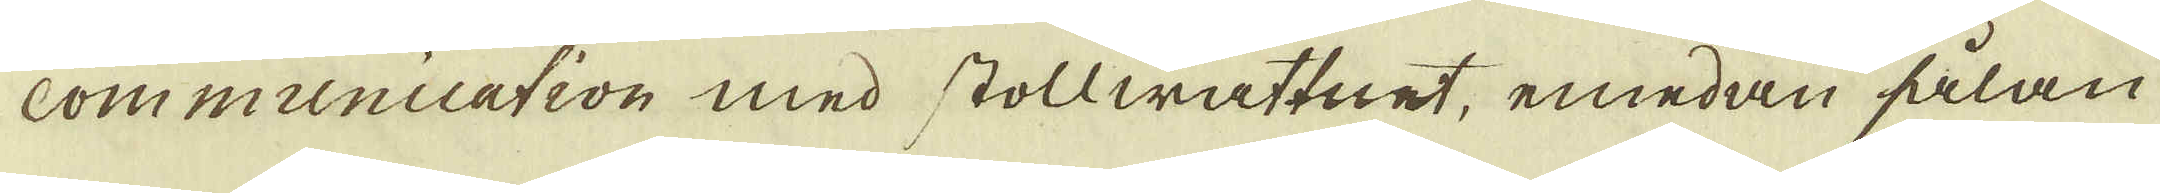Communication med stollwattnet, emedan sålan
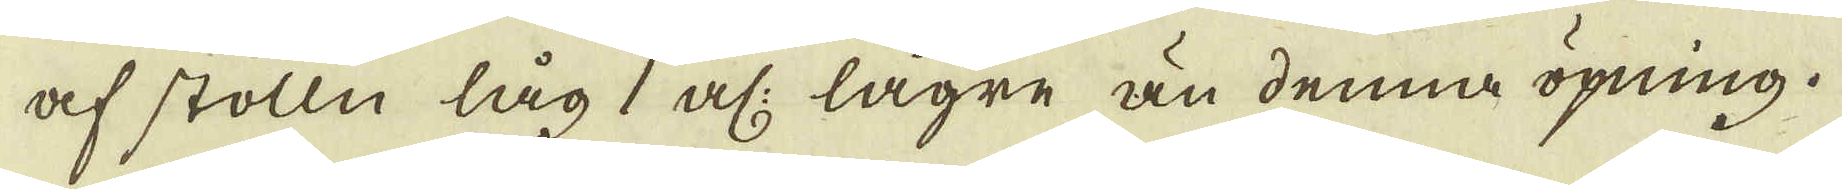af stolln låg 1 al: lägre än denna öpning.
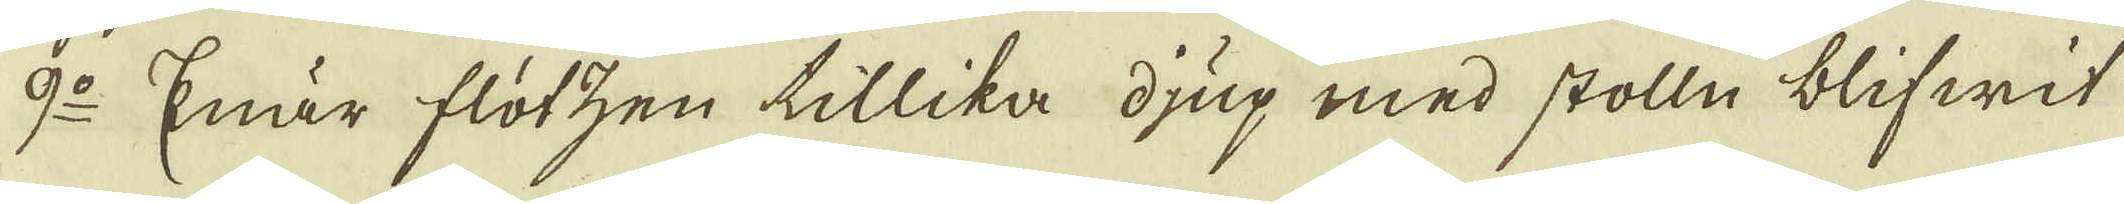9:o Enär flötzen tillika djup med stolln blifwit
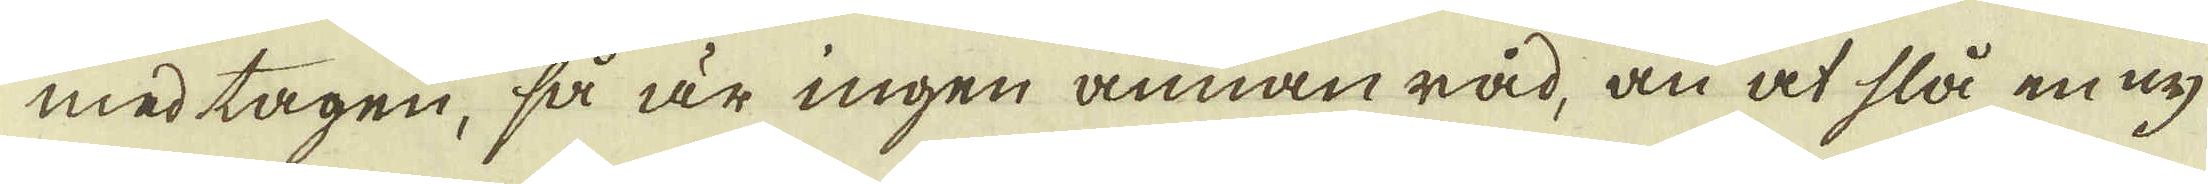med tagen, så är ingen annan råd, än at slå en ny
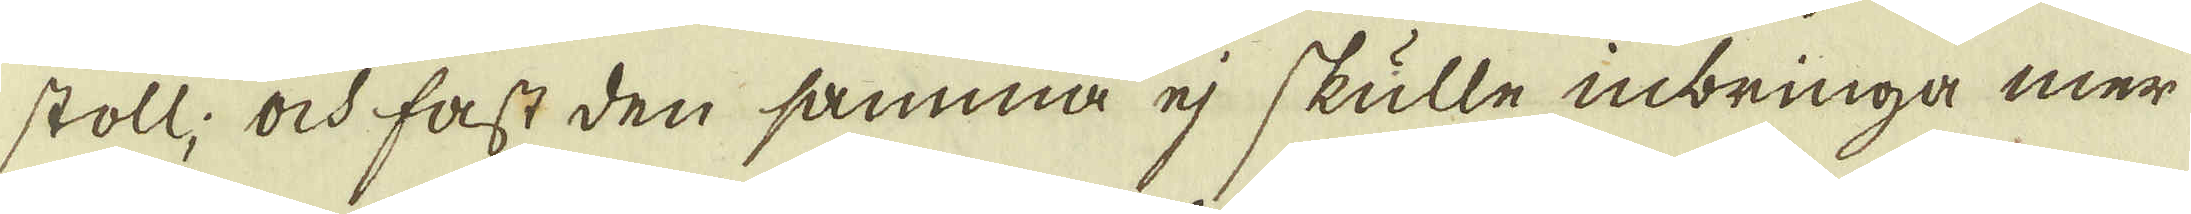stoll; ock fast den samma ej skulle inbringa mer
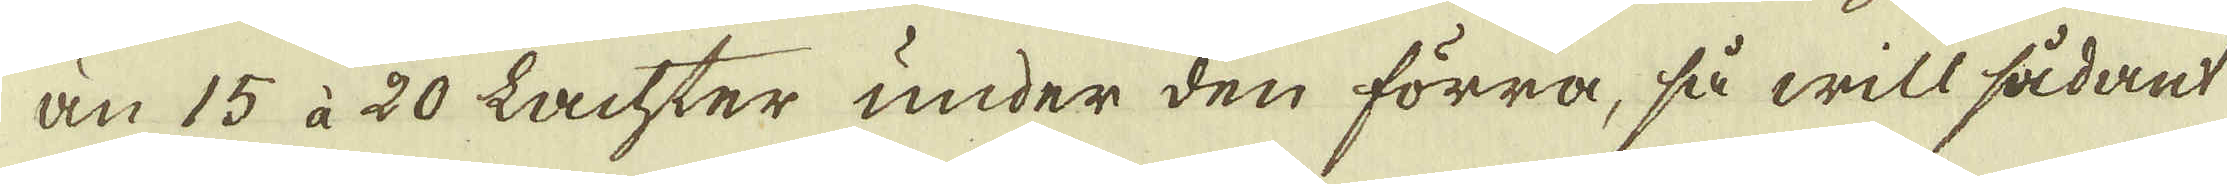än 15 à 20 Lachter under den förra, så will sådant
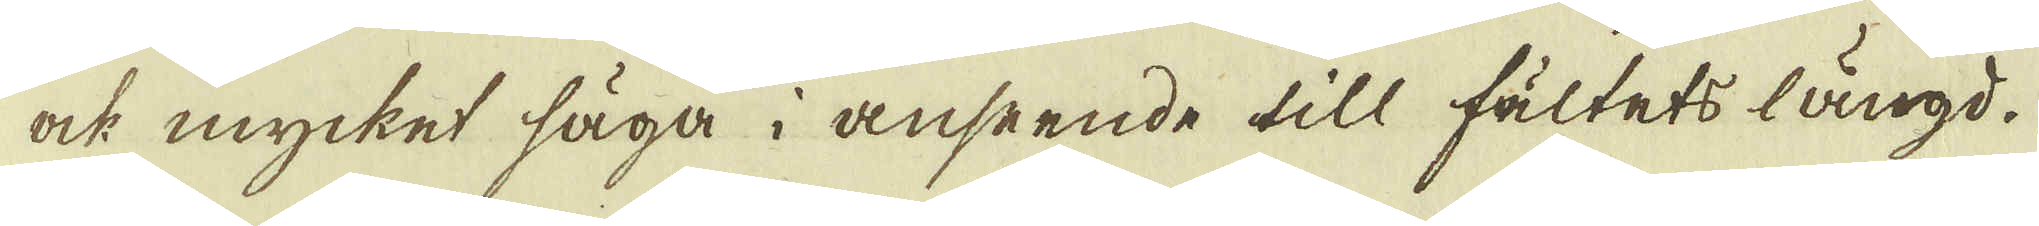ock mycket säga i anseende till fältets längd.
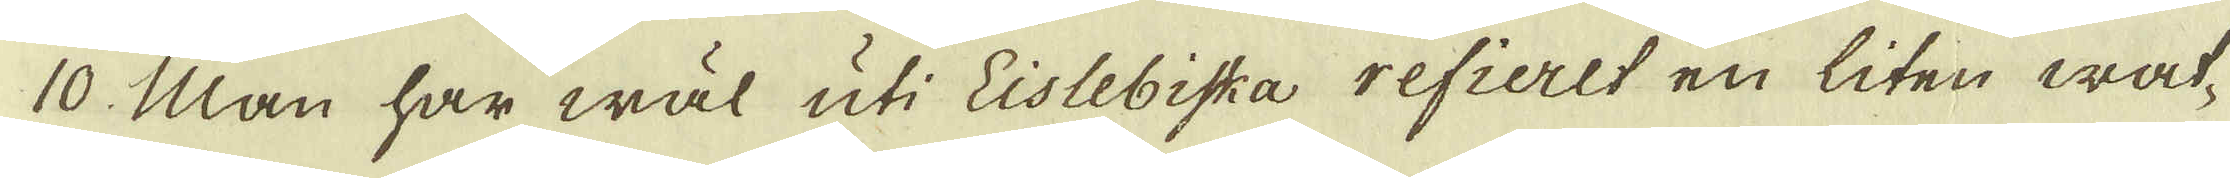10. Man har wäl uti Eislebiska refieret en liten wat-
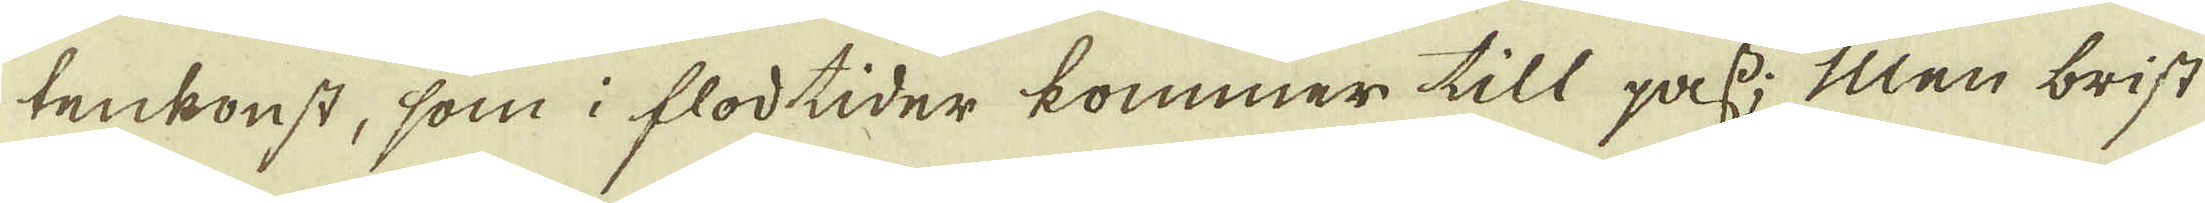tenkonst, som i flodtider kommer till pass; Men brist
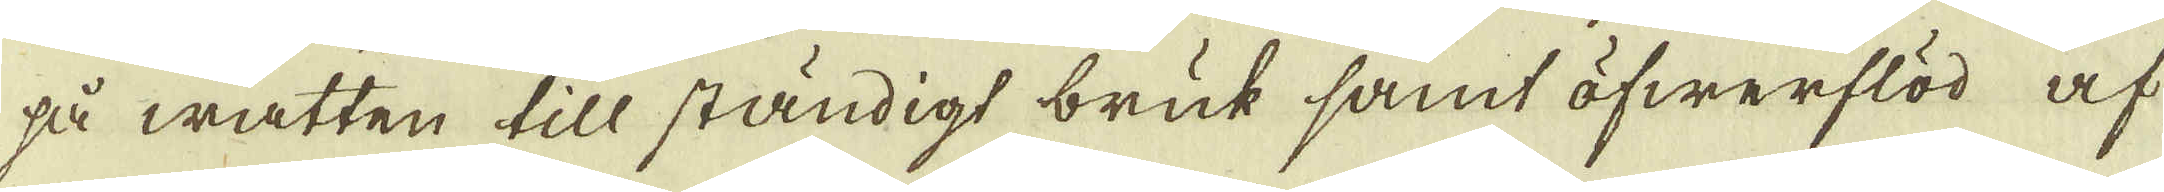så watten till ständigt bruk samt öfwerflöd af
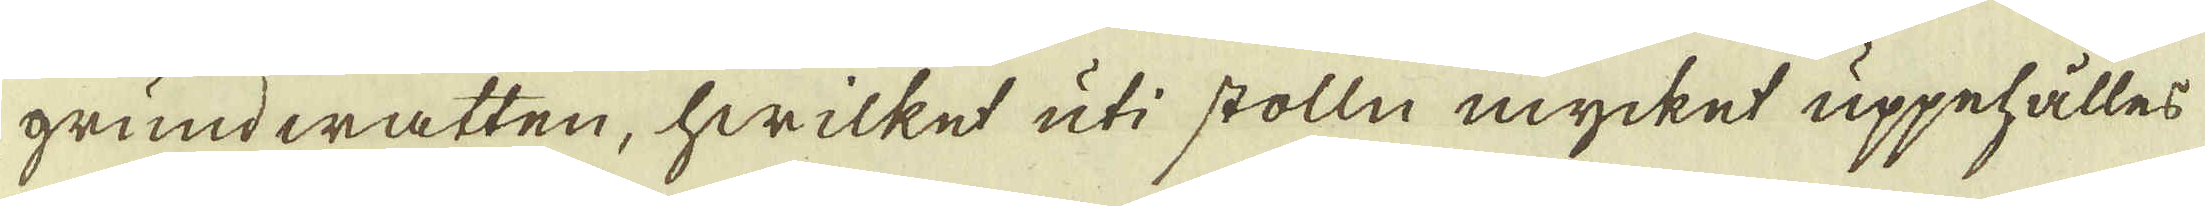grund watten, hwilket uti stolln mycket uppehälles
